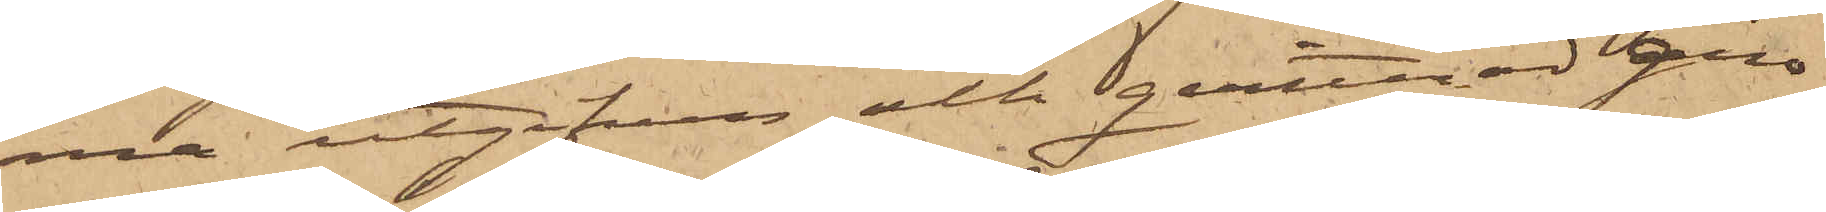ma utgifven och qvitterad giro¬
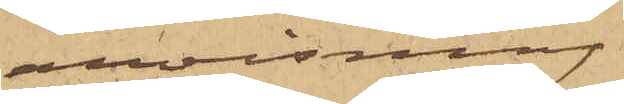anvisning
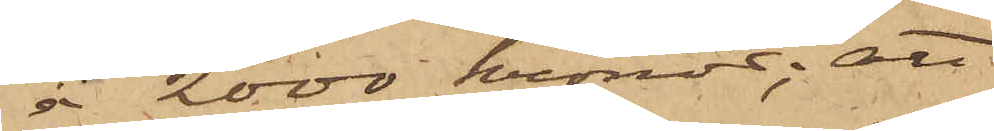å 2000 kronor; att
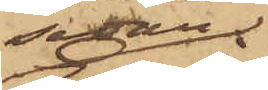sedan
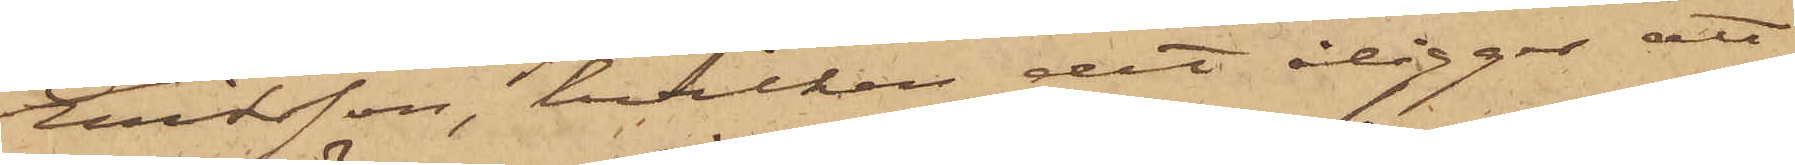Eriksson, hvilken det åligger att
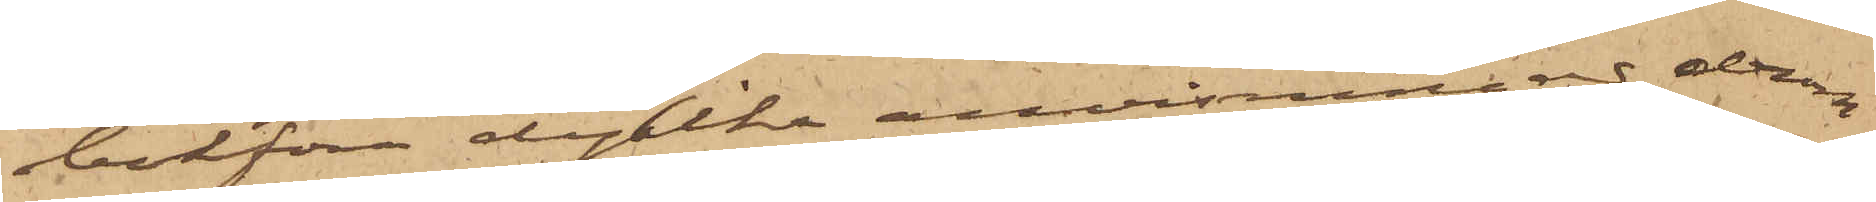bokföra dylika anvisningar, derom
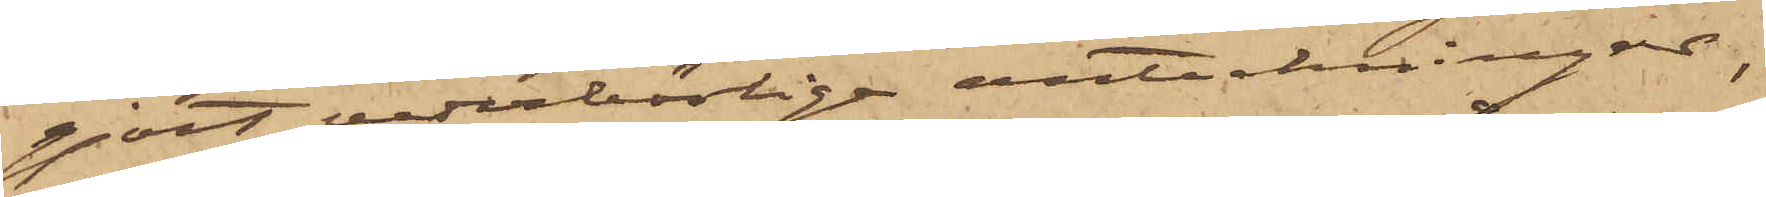gjort vederbörliga anteckningar,
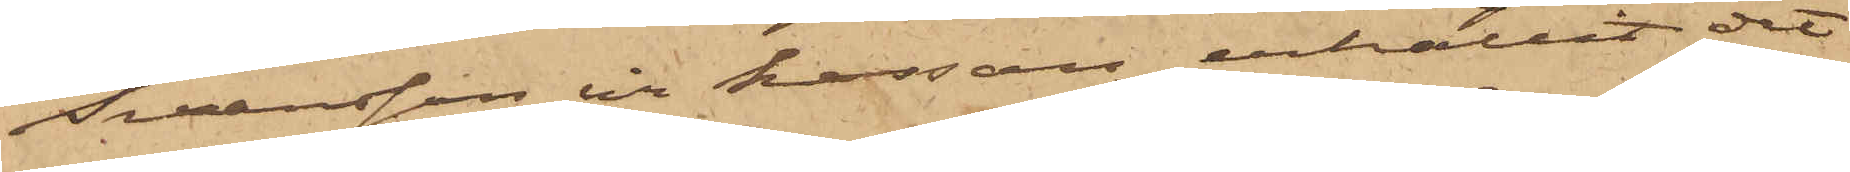Svensson ur kassan erhållit det
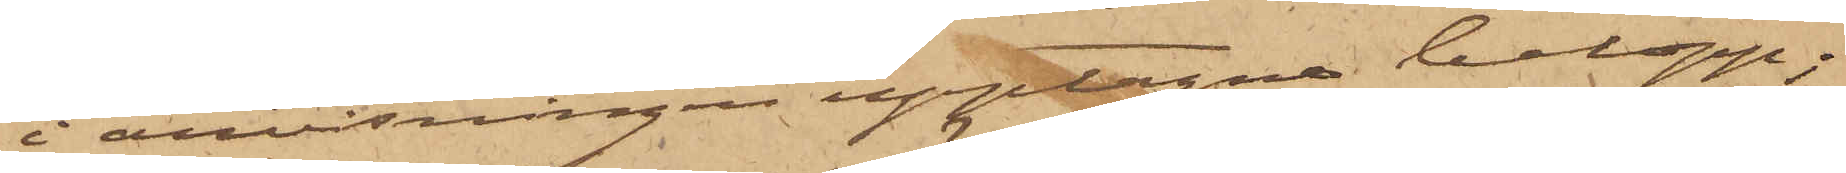i anvisningen upptagna belopp;
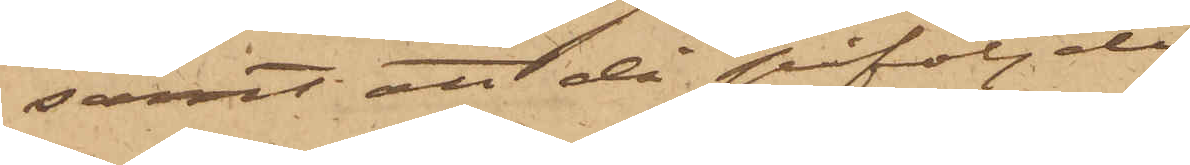samt att då påföljde
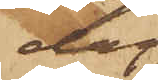dag
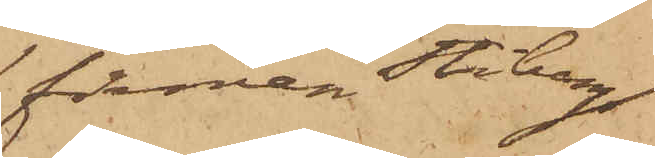firman Stiberg
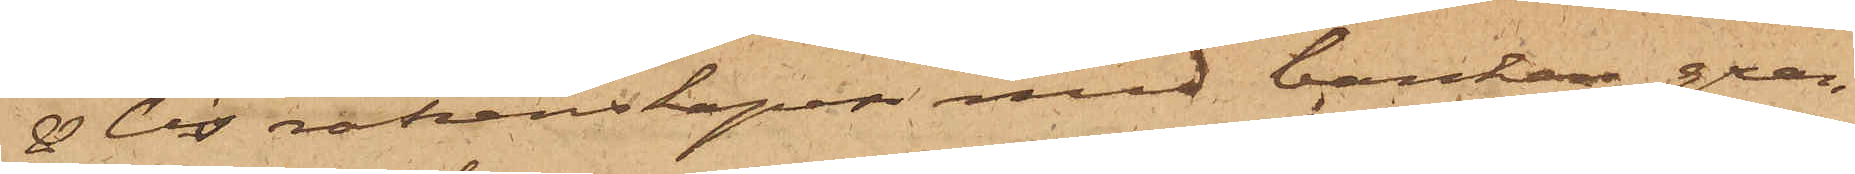& Cis räkenskaper med banken gran¬
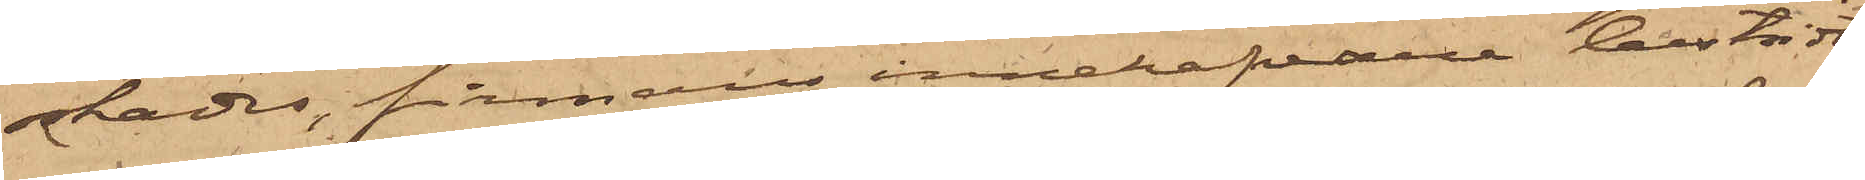skades, firmans innehafvare bestridt
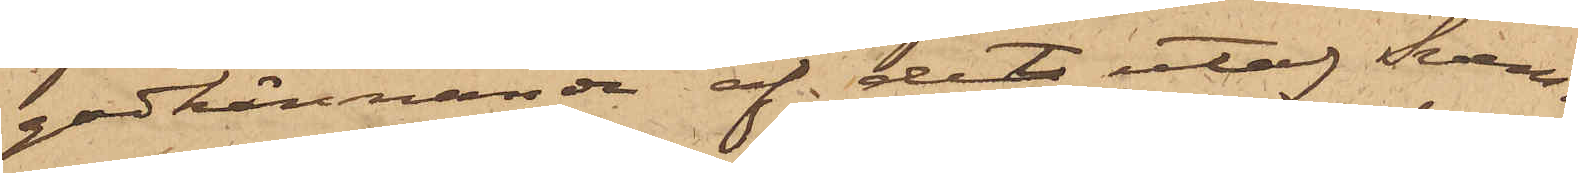godkännande af det utaf Sven¬
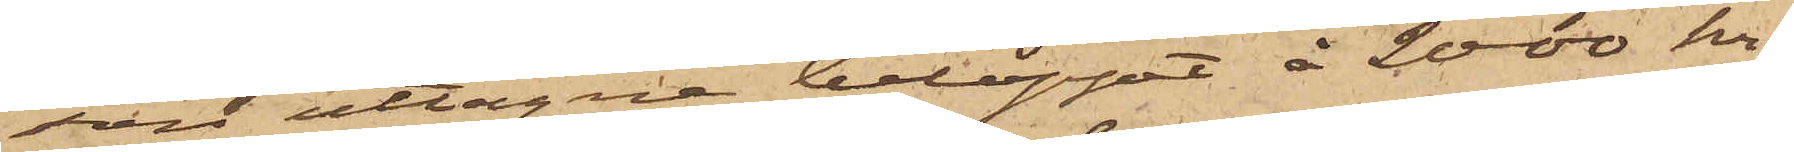son uttagna beloppet å 2000 kr,
